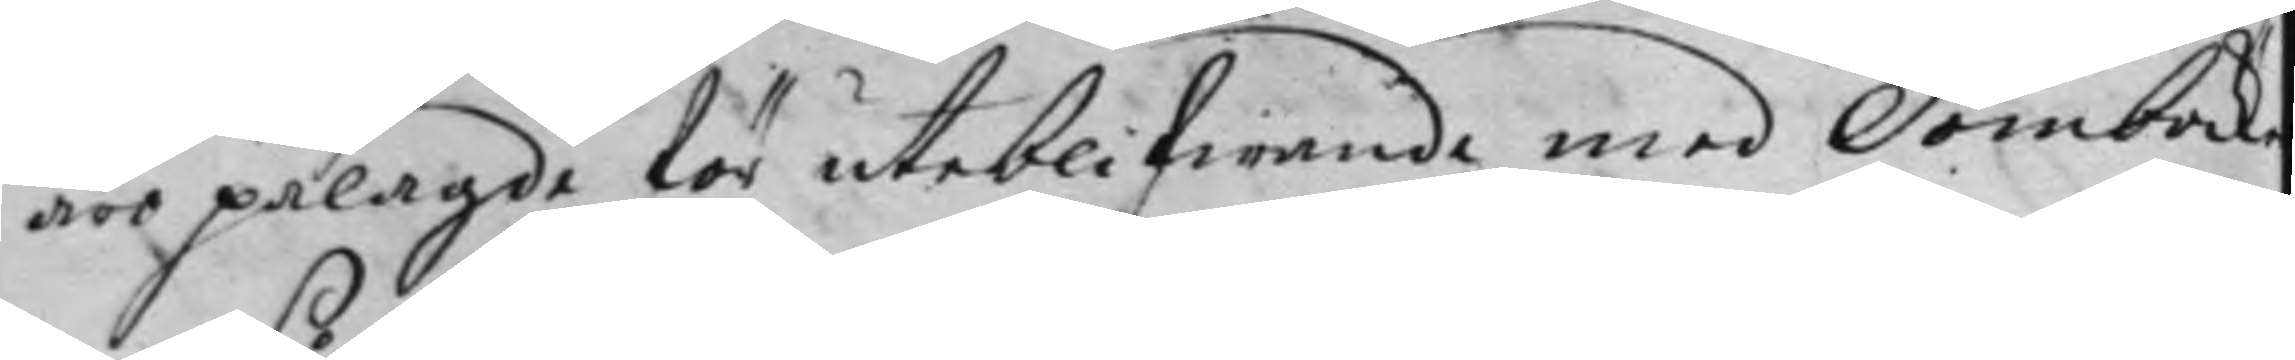äro pålagde för uteblifwande med Domböck¬
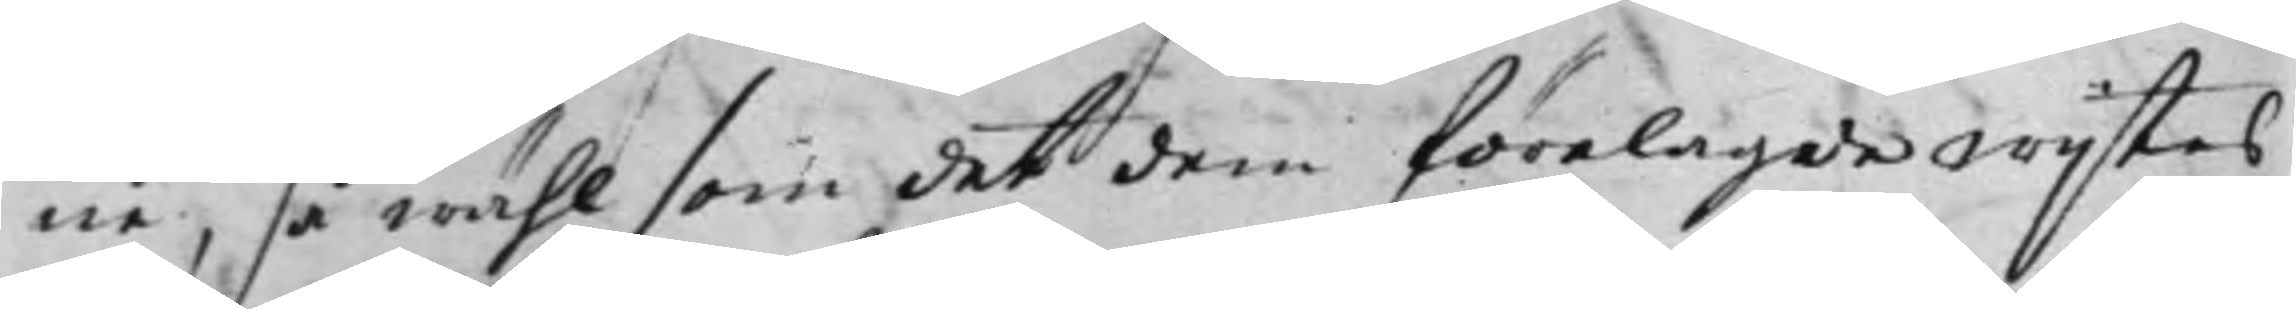ne, så wähl som det dem förelagde wijstes
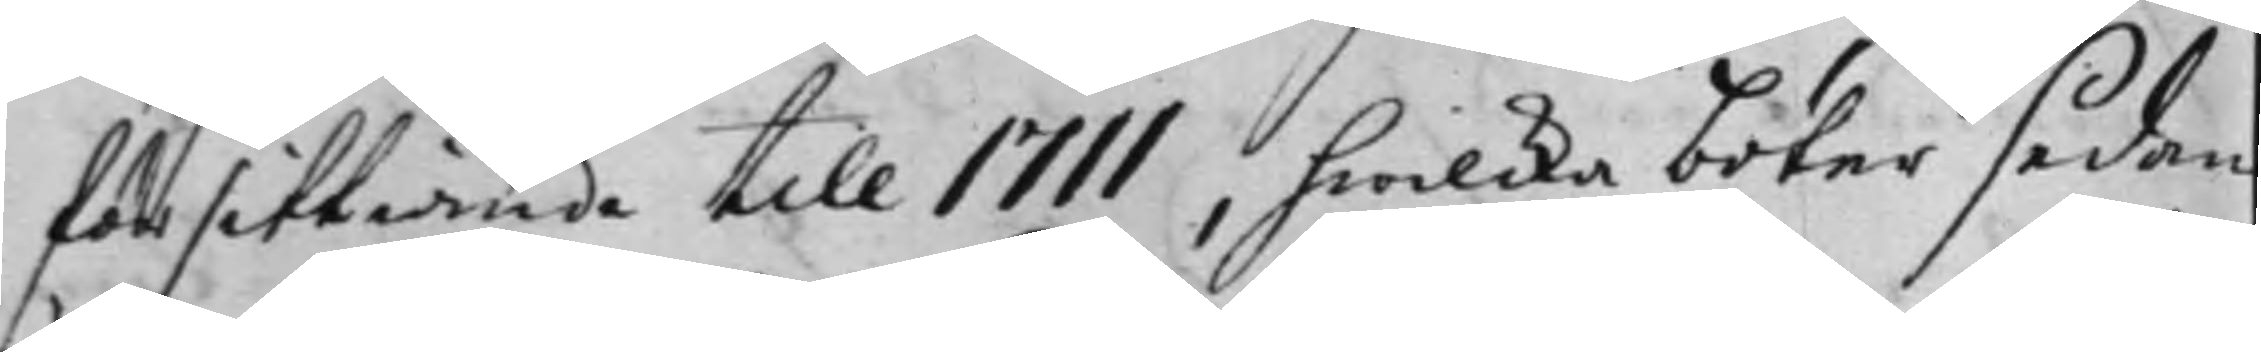försittiande till 1711, hwilcka böter sedan
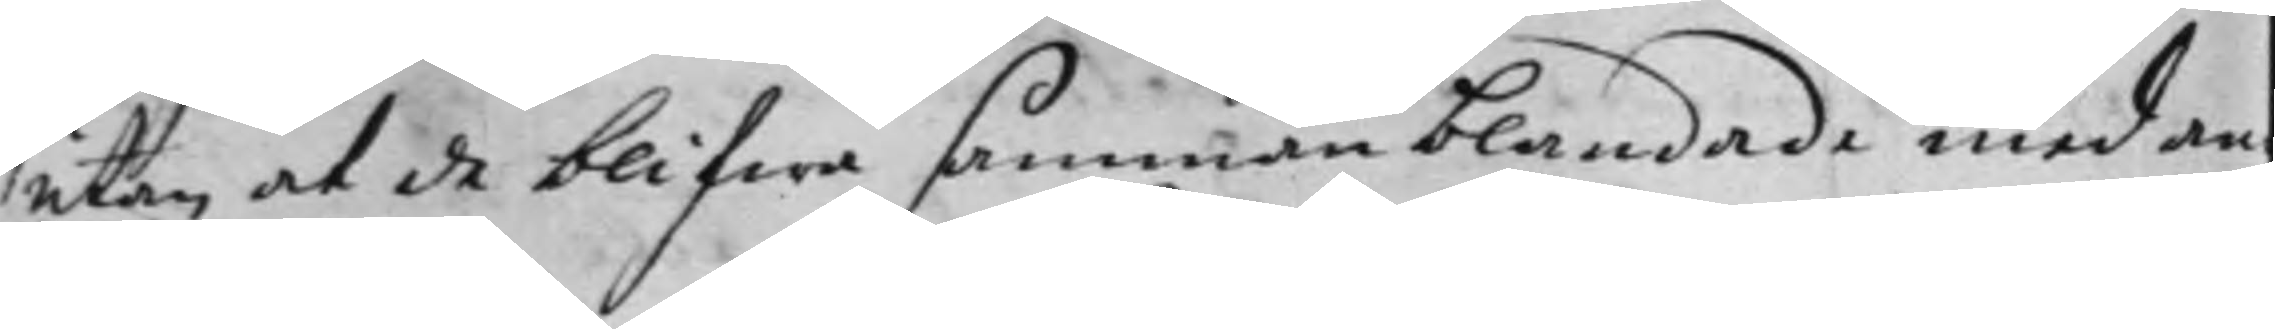utan at de blifwa sammanblandade med an¬
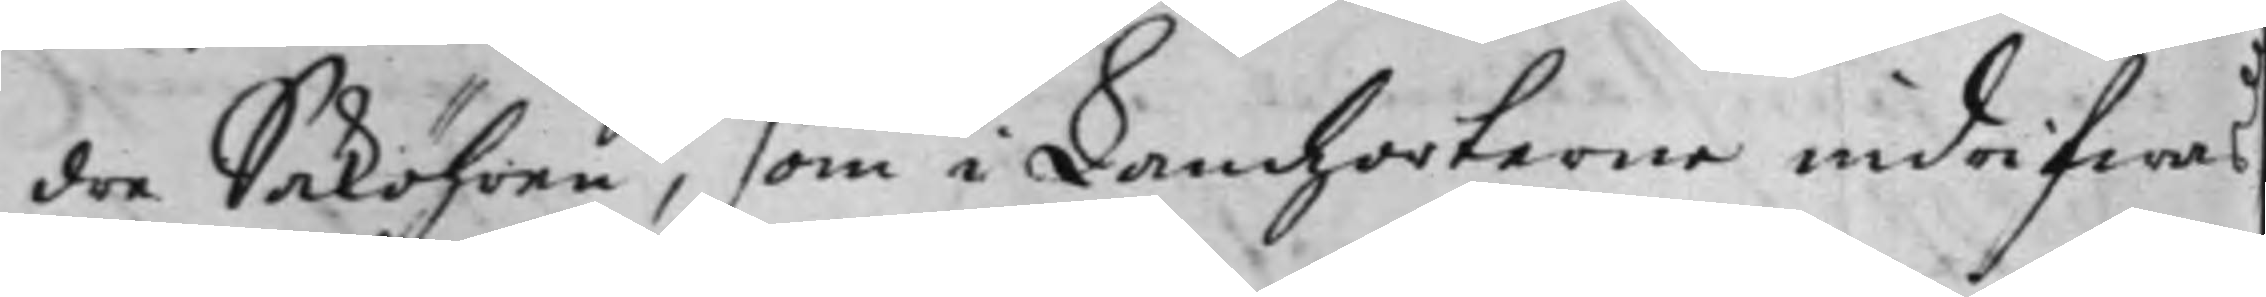dre Saköhren, som i Landzorterne indrifwas
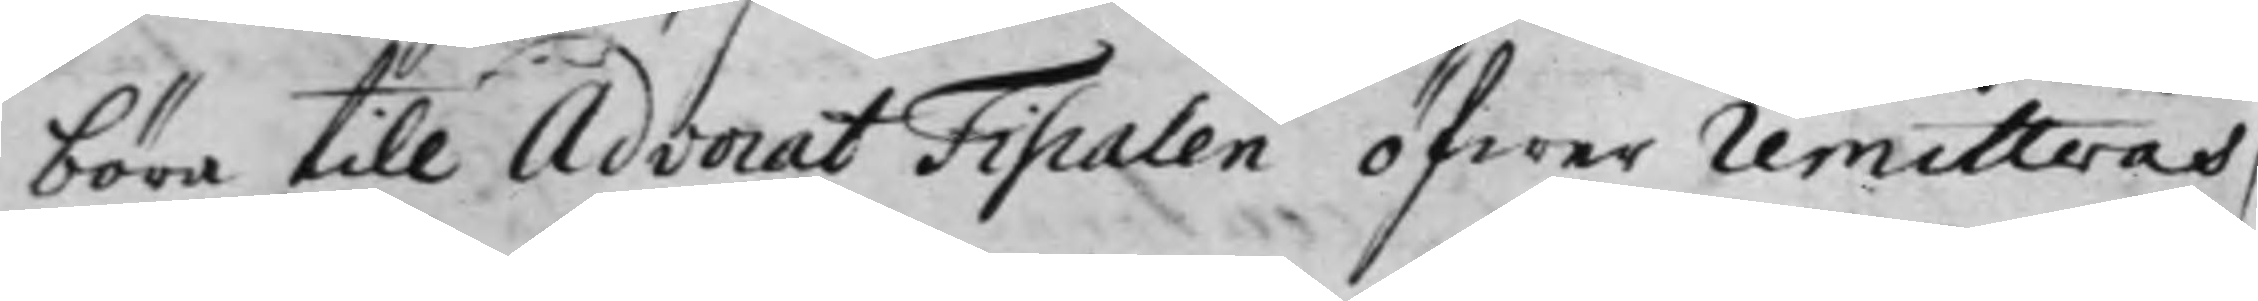böra till Advocat Fiscalen öfwer Remitteras,
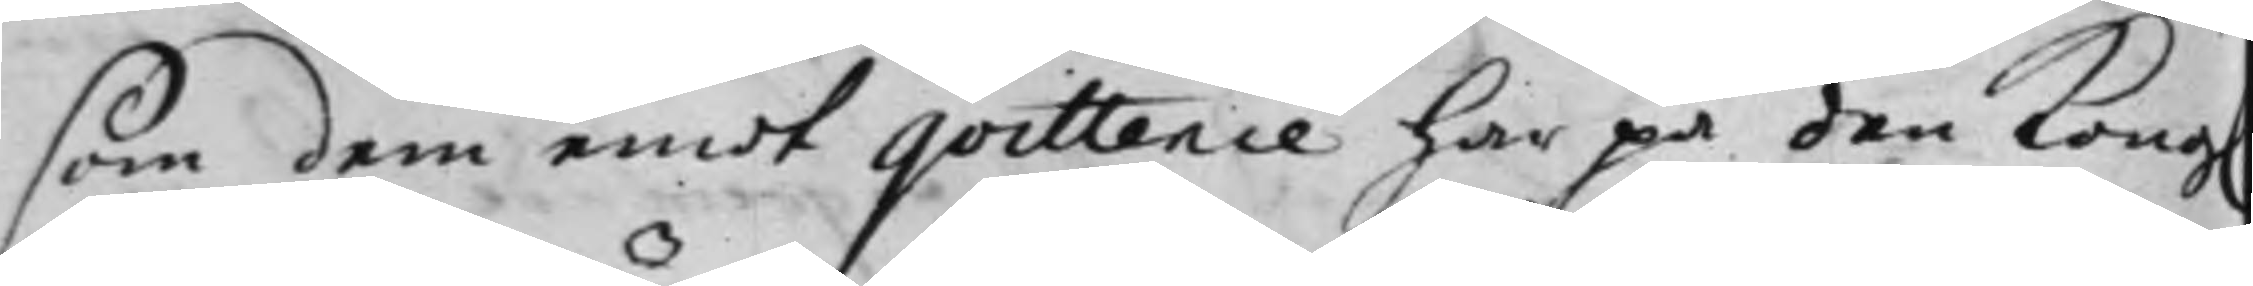som dem emot qvittence har på den Kong.
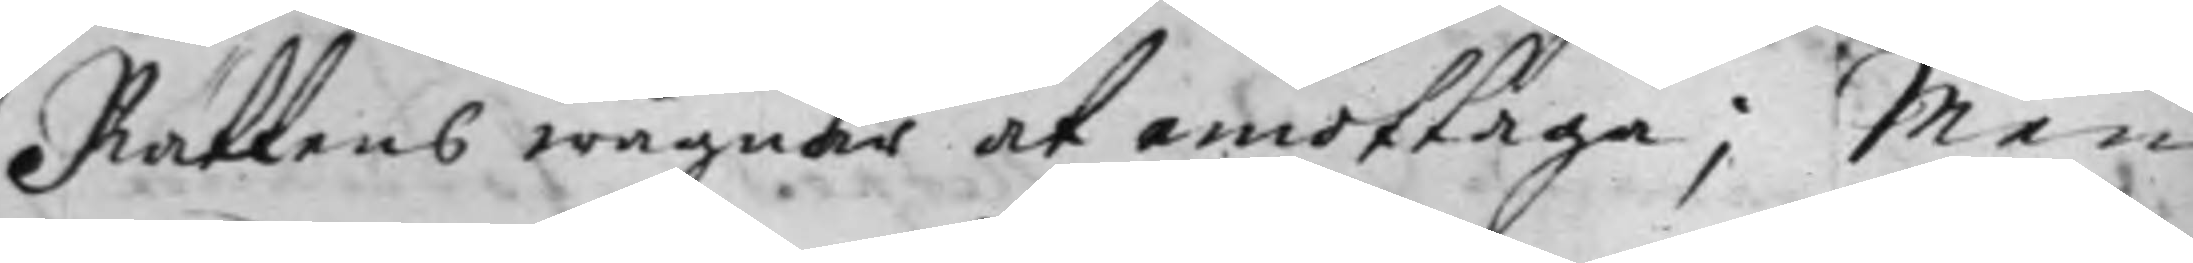Rättens wägnar at emottaga; Men
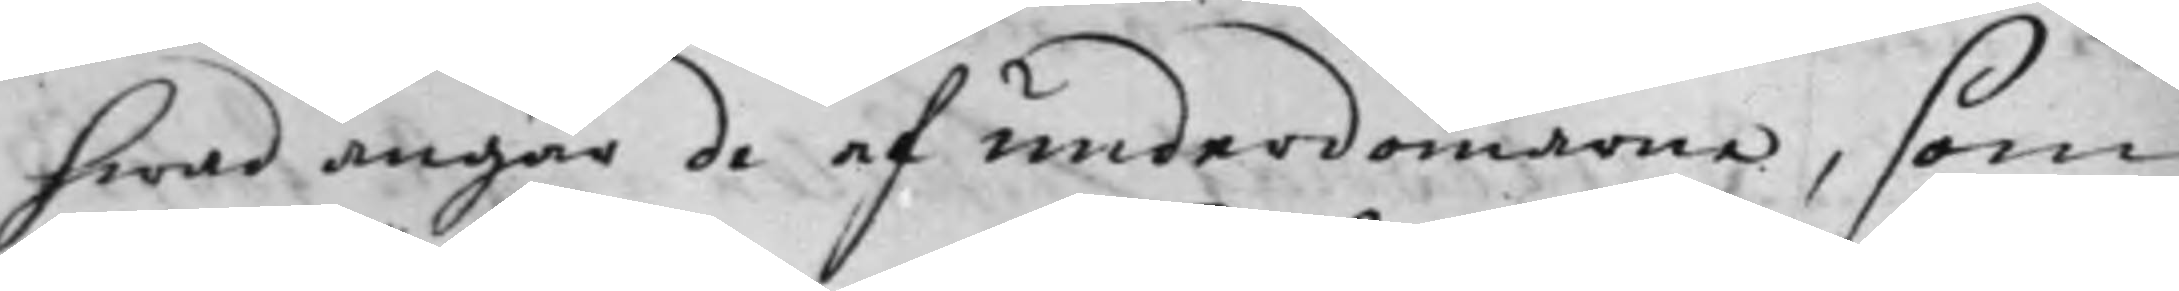hwad angår de af underdomarma, som
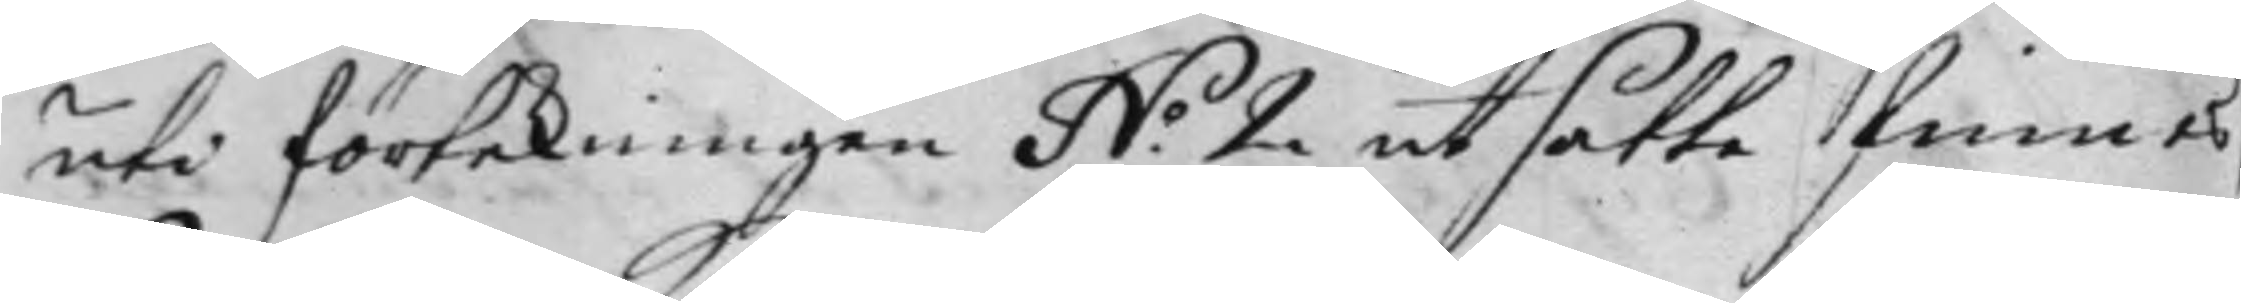uti förtekningen N.o 2 utsatte finnes
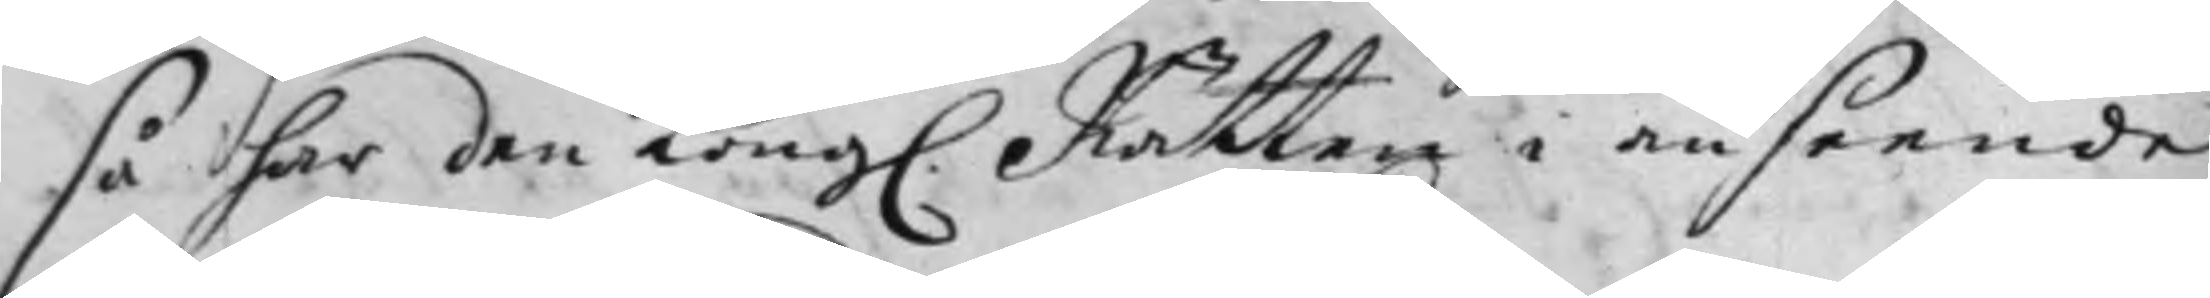så har den Kong. Rätten i anseende
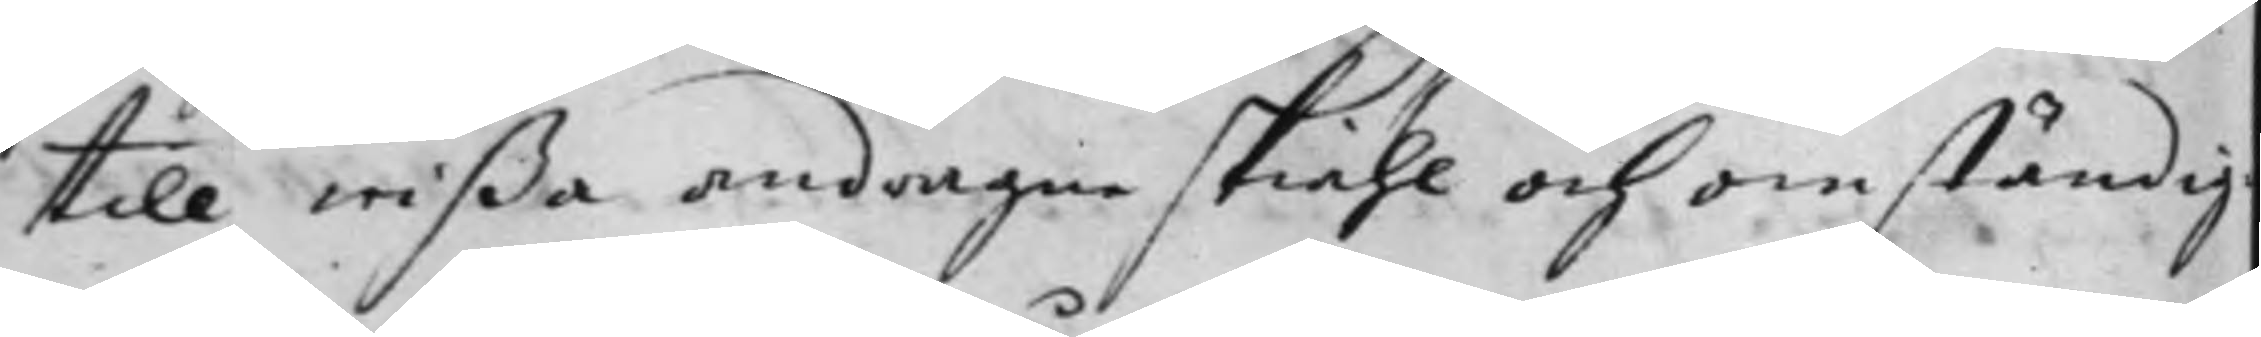till wißa andragne skiähl och omständig¬
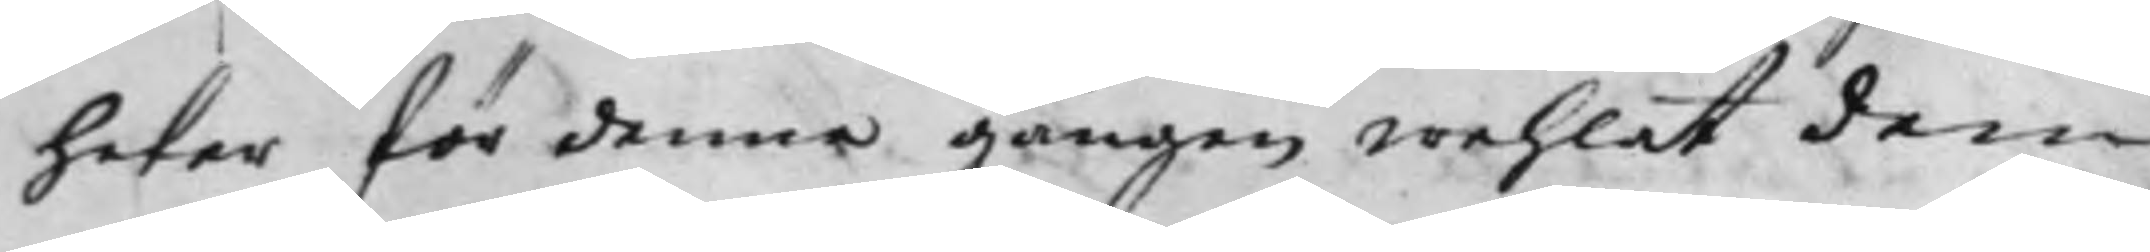heter för denna gången wehlat dem
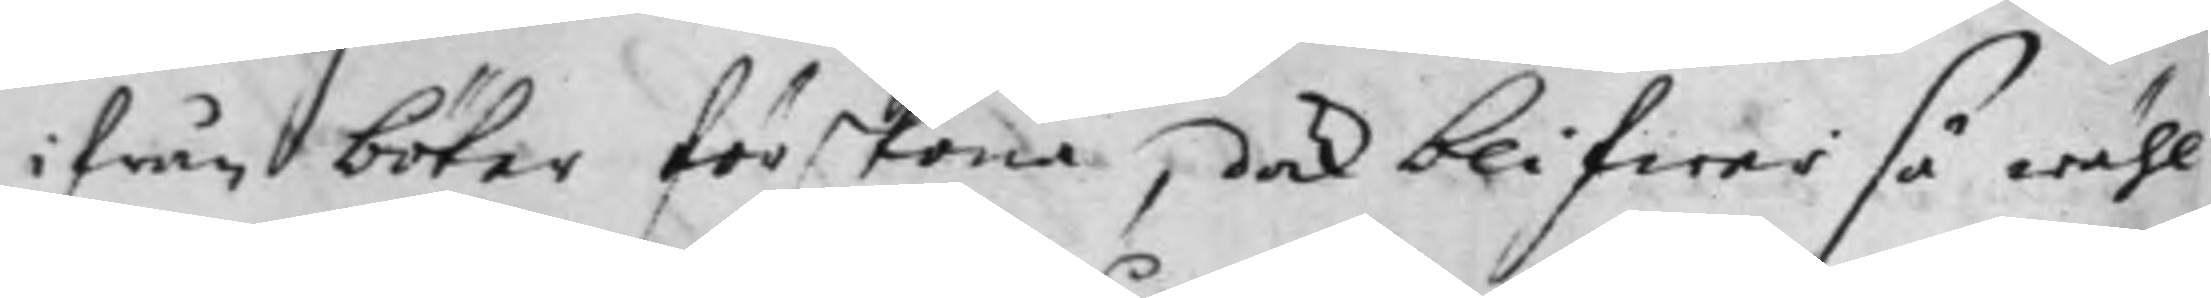ifrån böter förskona, dock blifwer så wähl
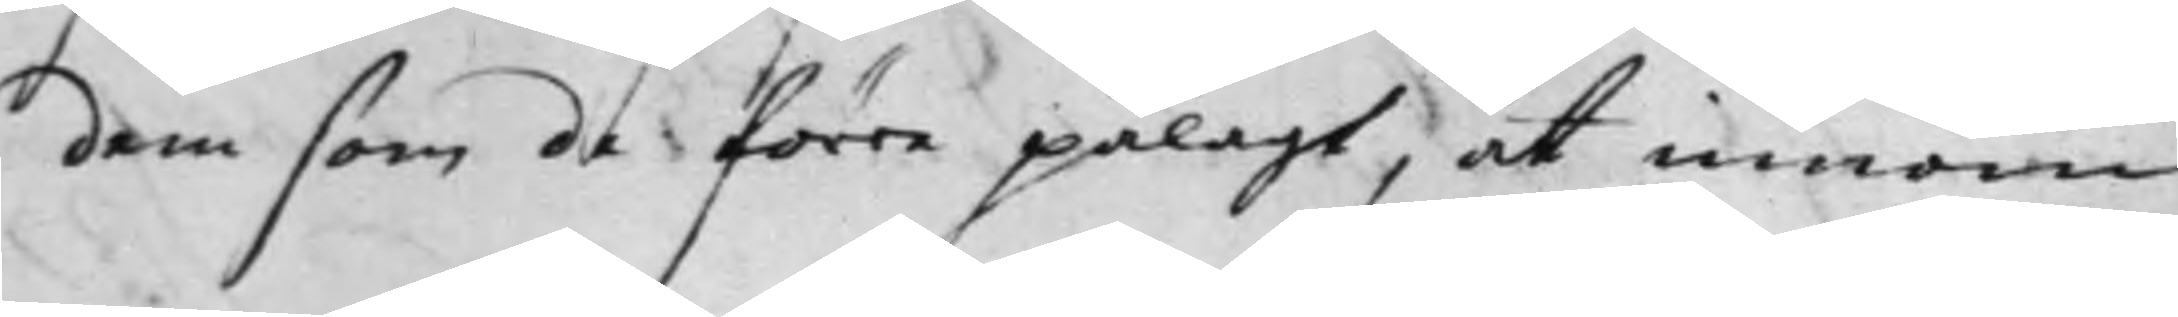dem som de förre pålagt, at innom
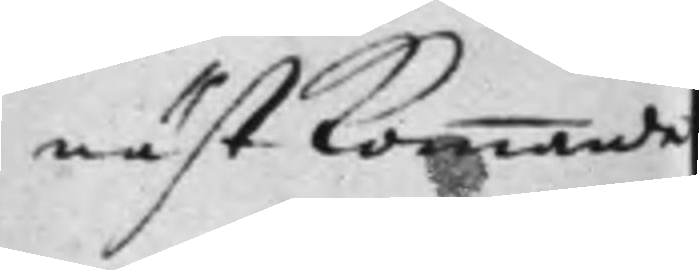nästkommande
